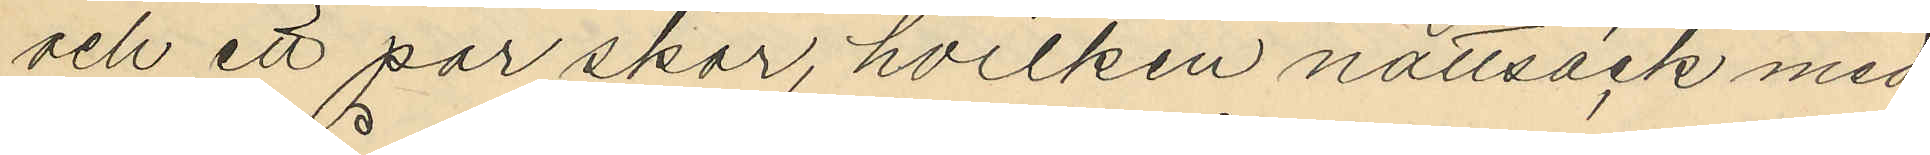och ett par skor, hvilken nattsäck med
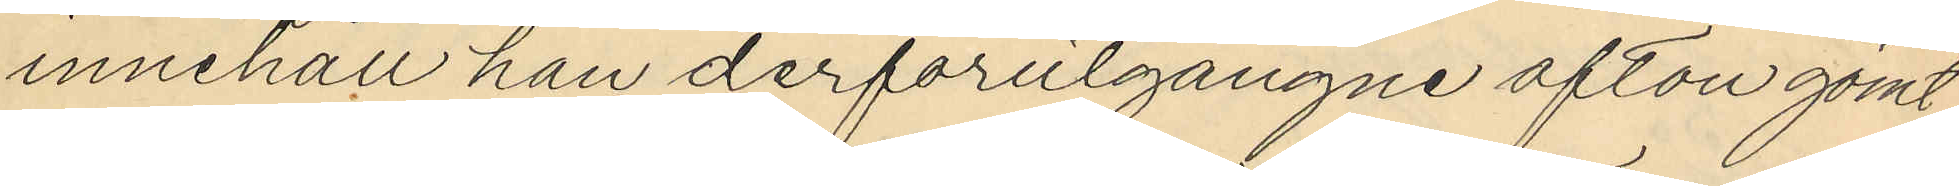innehåll han derförutgångne afton gömt
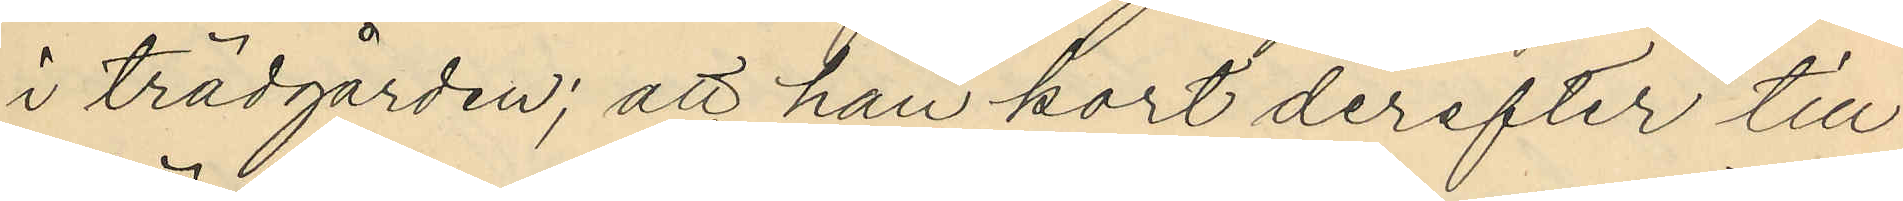i trädgården; att han kort derefter till
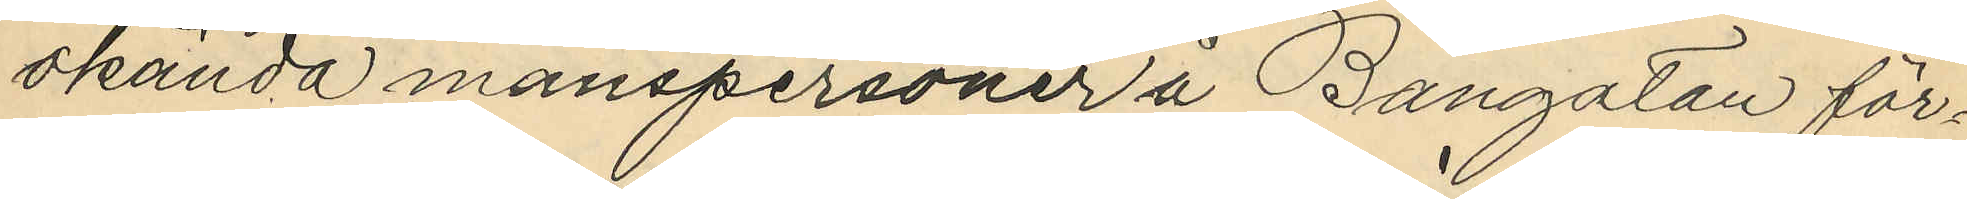okända manspersoner å Bangatan för¬
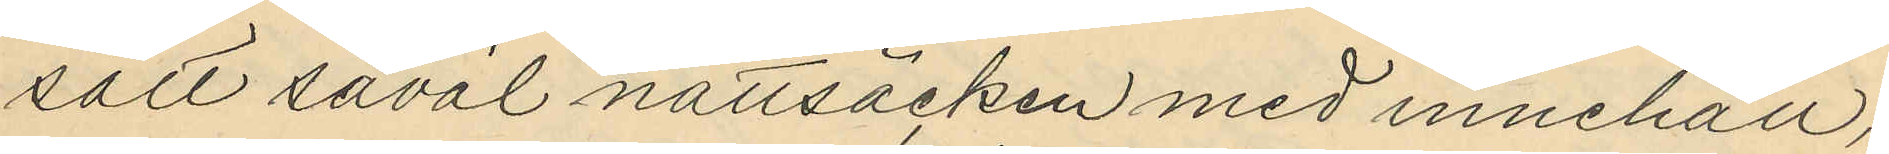sålt såväl nattsäcken med innehåll,
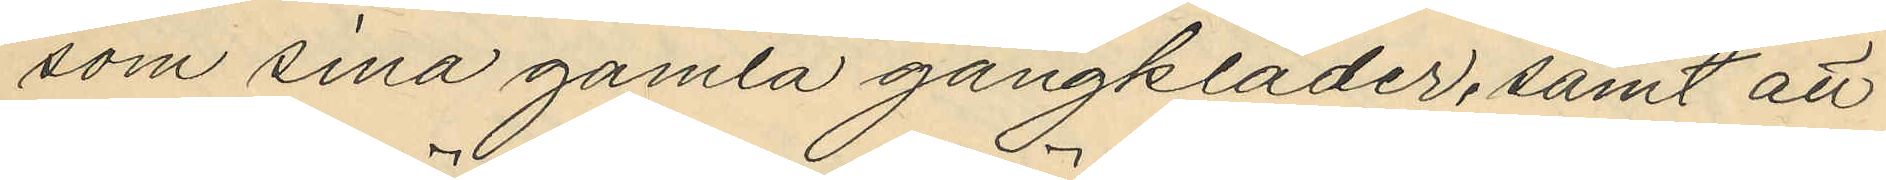som sina gamla gångkläder, samt att
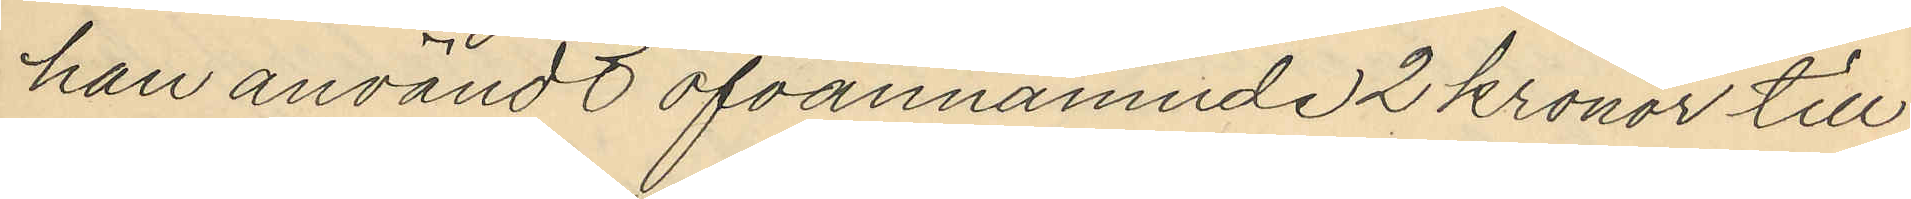han användt ofvannämnde 2 kronor till
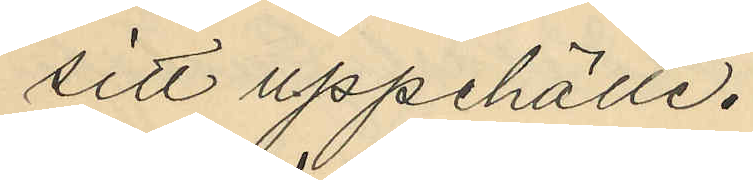sitt uppehälle.
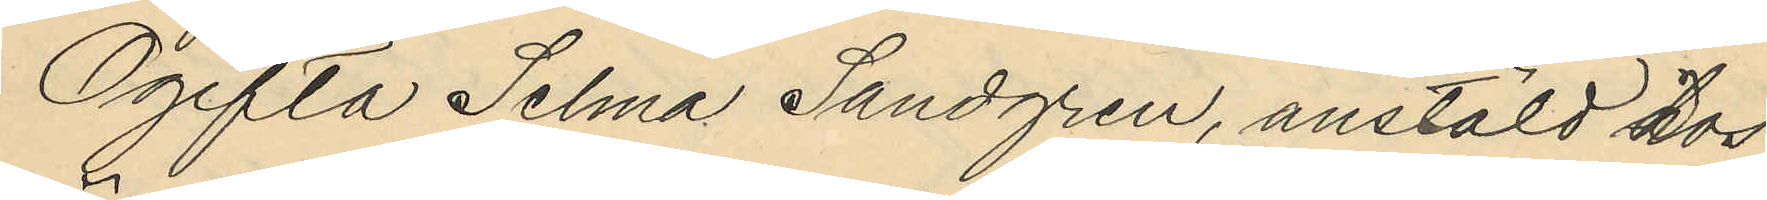Ogifta Selma Sandgren, anstäld hos
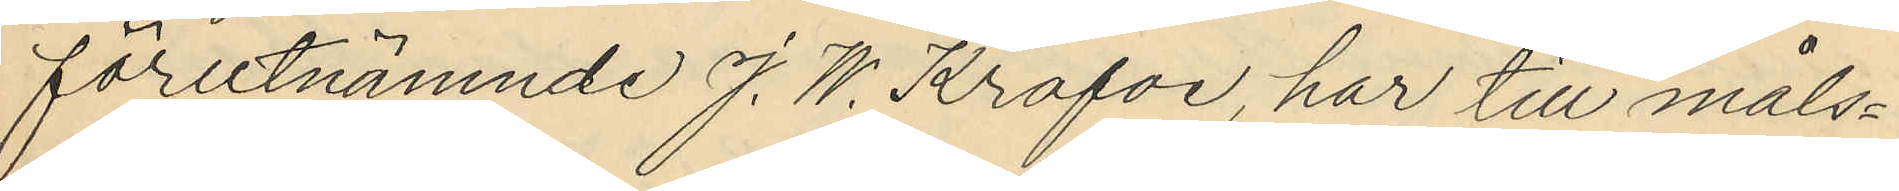förutnämnde J. W. Krafve, har till måls¬
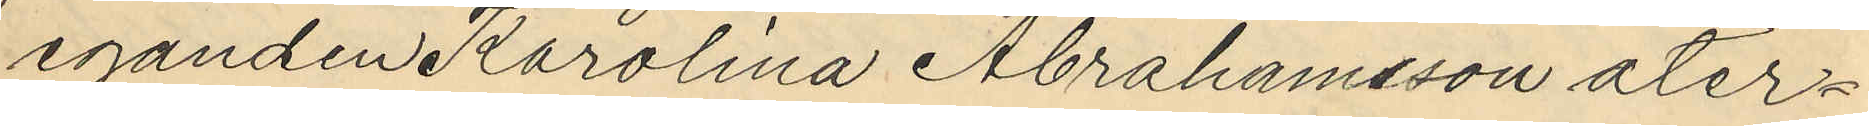eganden Karolina Abrahamsson åter¬
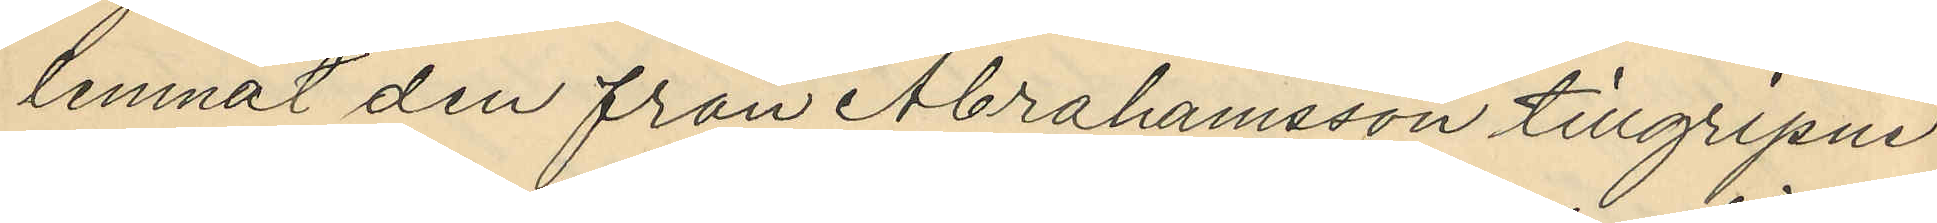lemnat den från Abrahamsson tillgripne
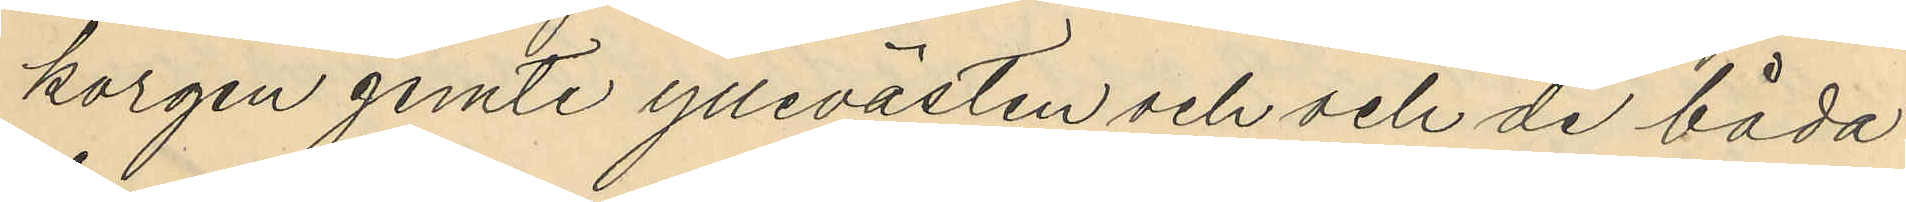korgen jemte yllevästen och och de båda
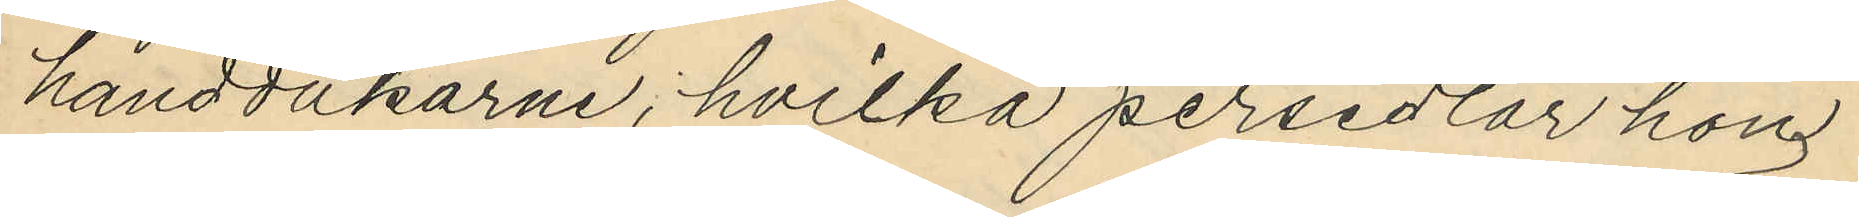handdukarne, hvilka persedlar hon
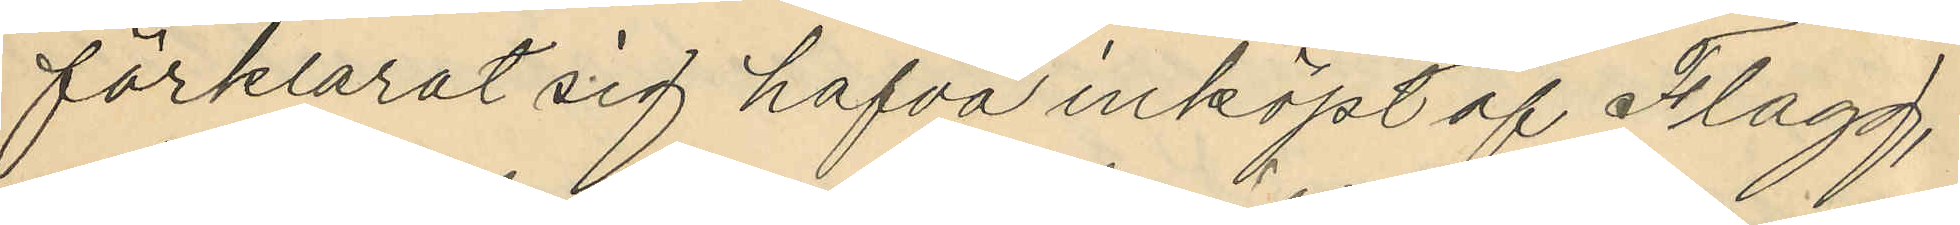förklarat sig hafva inköpt af Flagg,
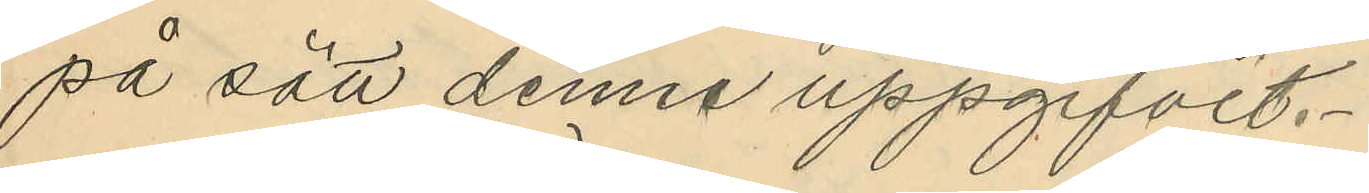på sätt denne uppgifvit.
